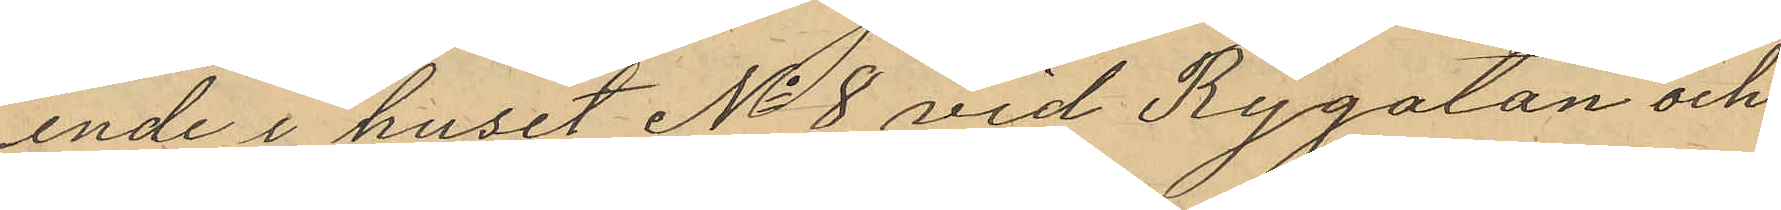ende i huset No 8 vid Rygatan och
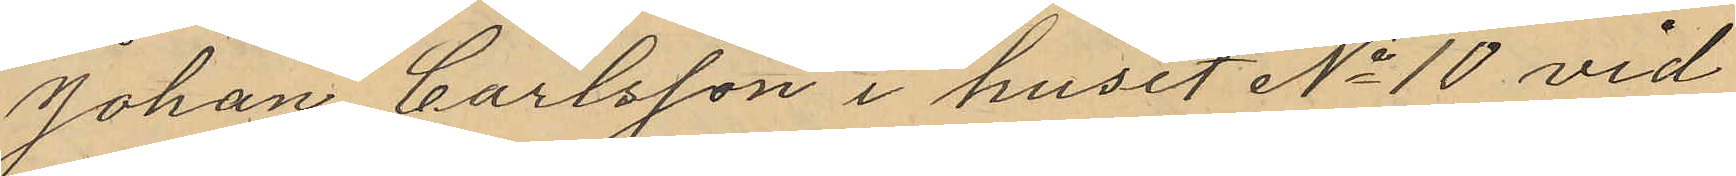Johan Carlsson i huset No 10 vid
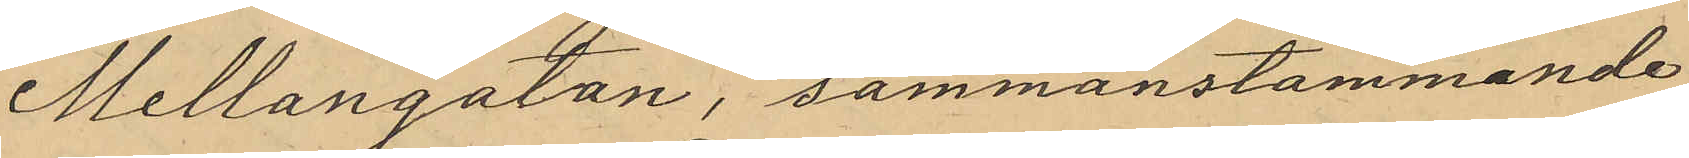Mellangatan, sammanstämmande
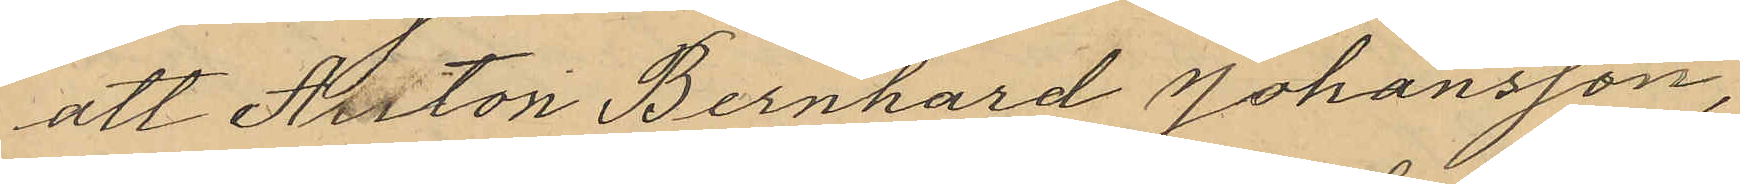att Anton Bernhard Johansson,
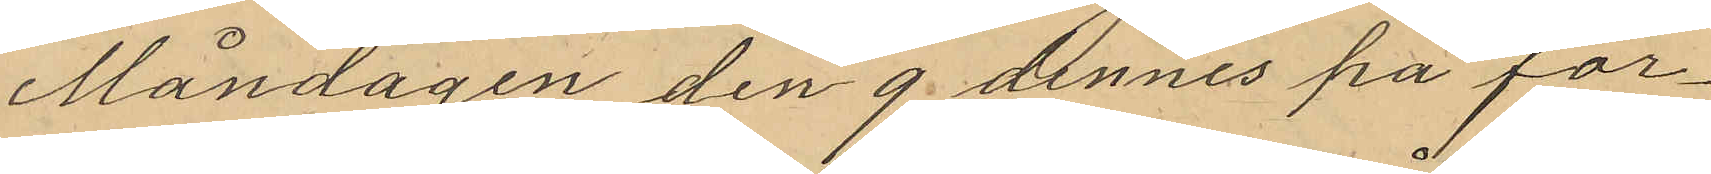Måndagen den 9 dennes på för¬
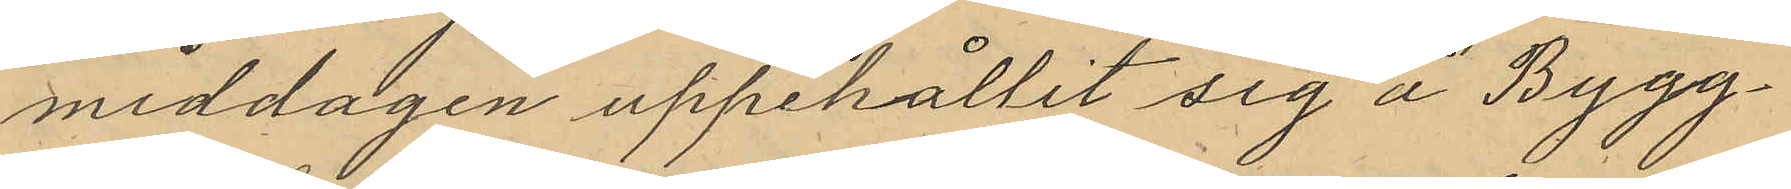middagen uppehållit sig å Bygg¬
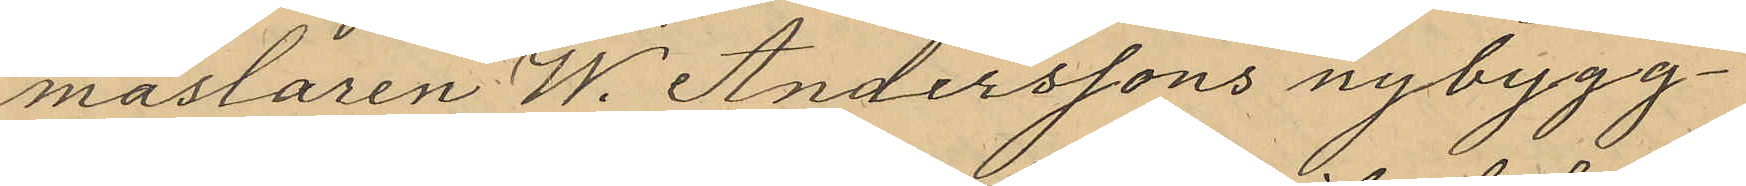mästaren W. Anderssons nybygg¬
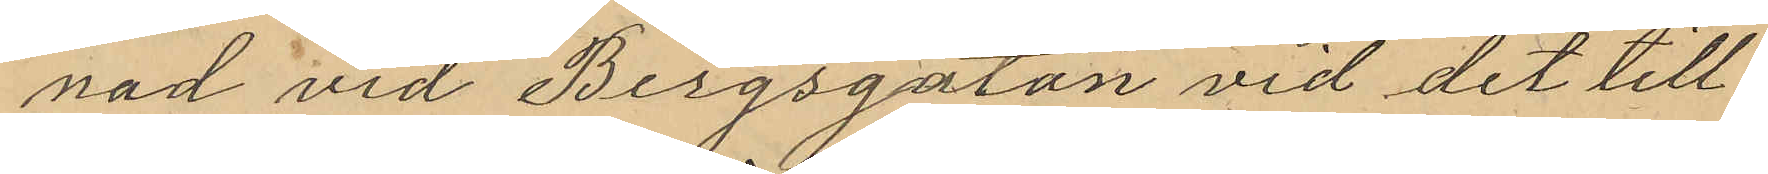nad vid Bergsgatan vid det till¬
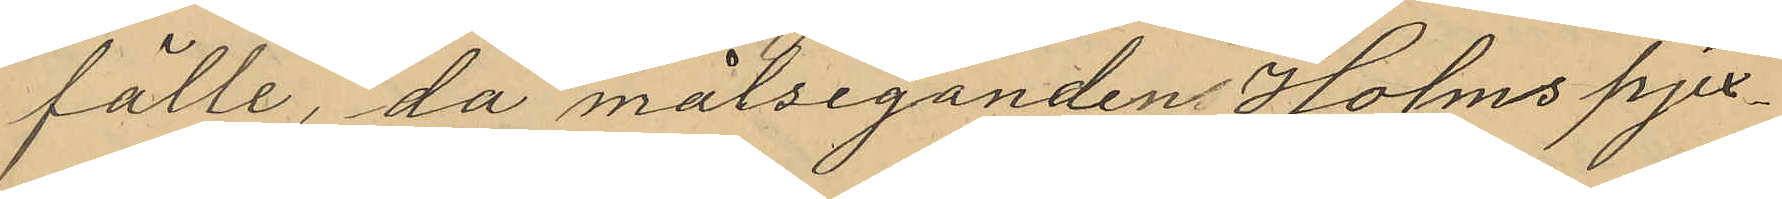fälle, då målseganden Holms pjex¬
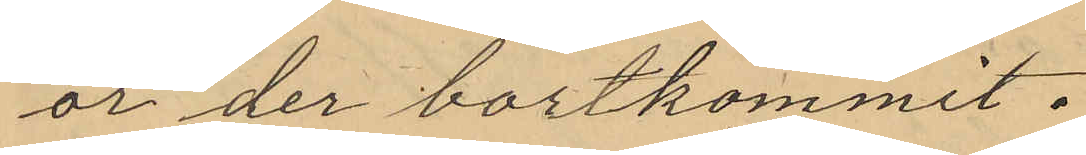or der bortkommit.
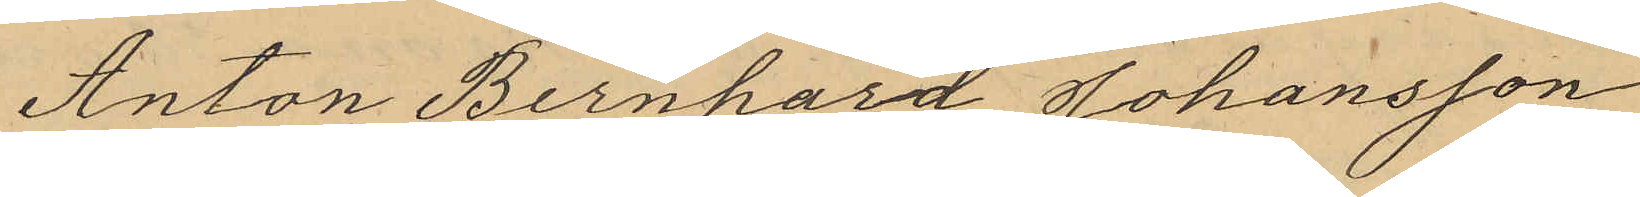Anton Bernhard Johansson
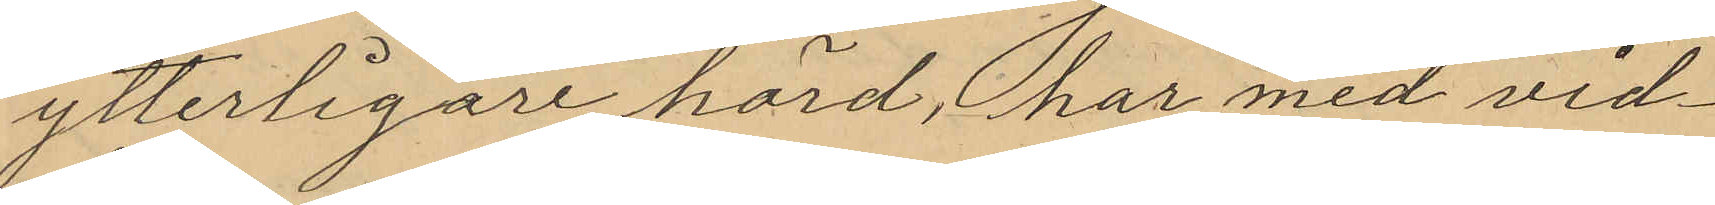ytterligare hörd, har med vid¬
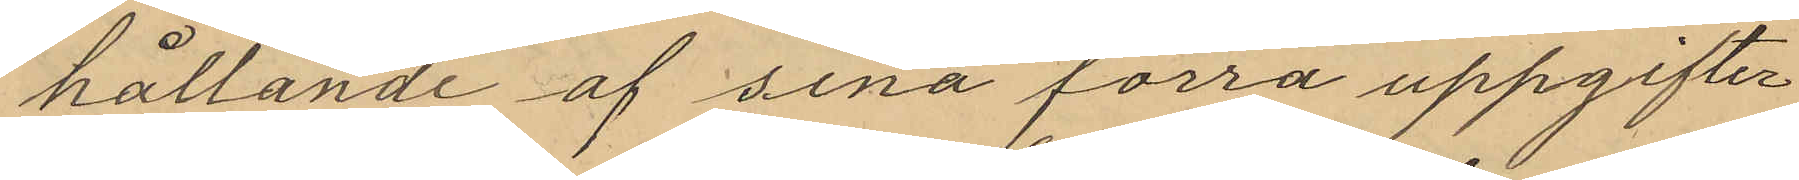hållande af sina förra uppgifter
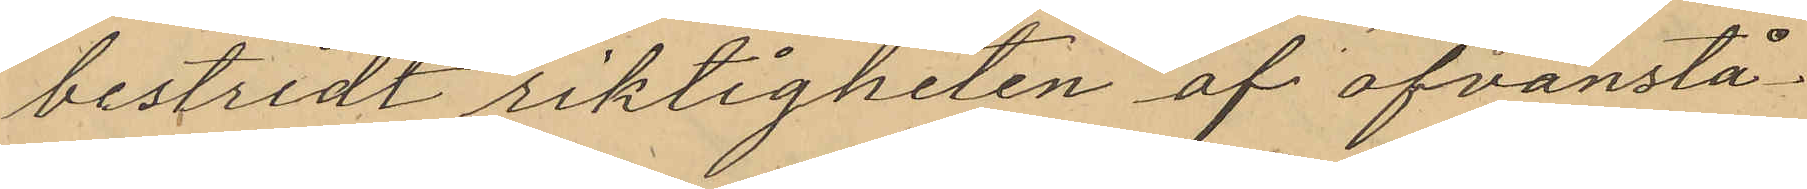bestridt riktigheten af ofvanstå¬
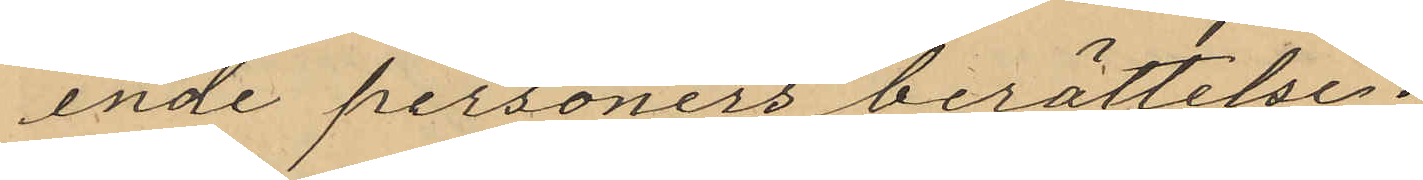ende personers berättelse.
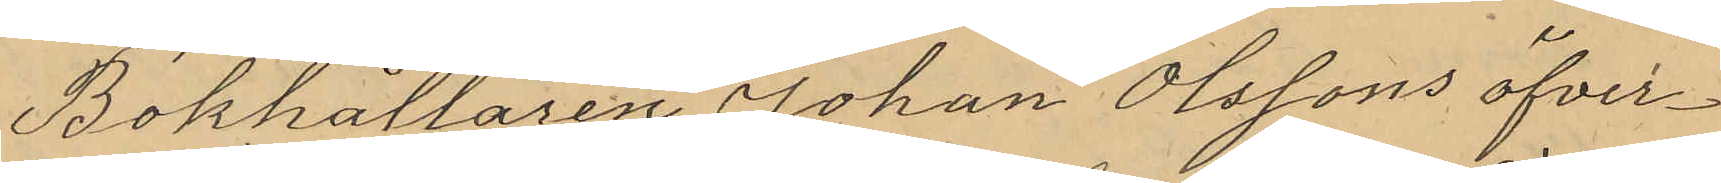Bokhållaren Johan Olssons öfver¬
